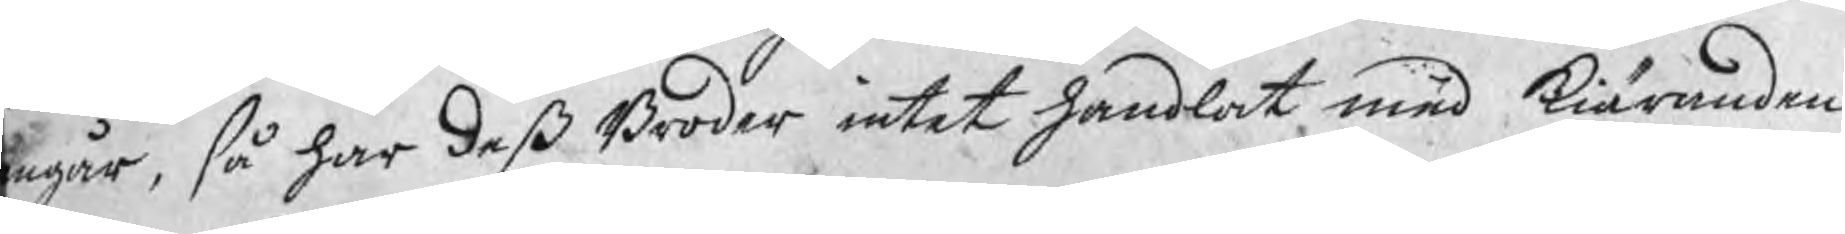ngår, så har deß Broder intet handlat med kiäranden
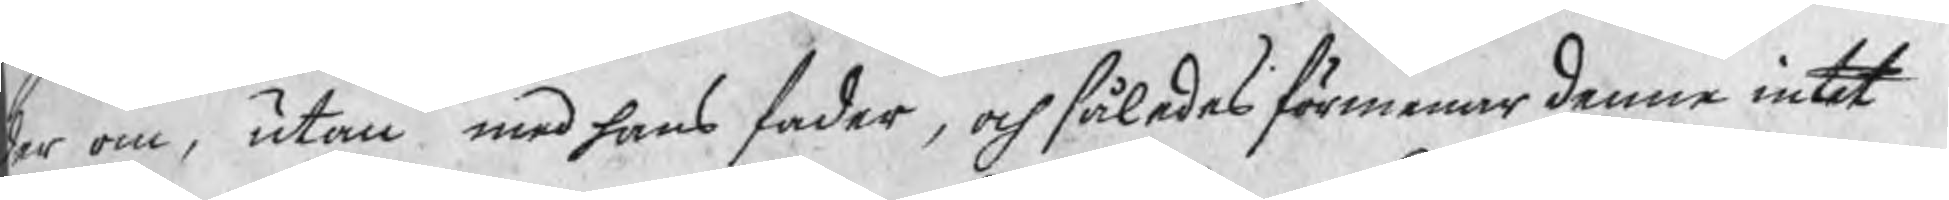er om, utan med hans fader, och således förmenar denne intet
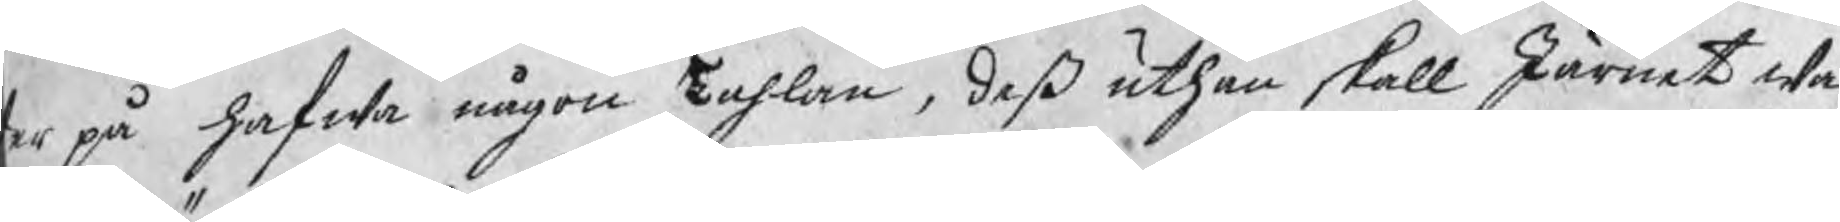er på hafwa någon Tahlan, deß uthan skall Järnet wa¬
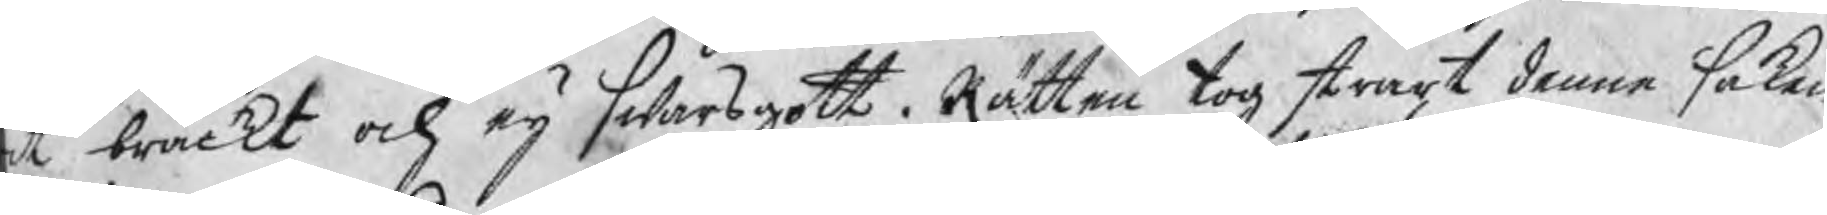it bräckt och eij swarsgott. Rätten tog straxt denne saken
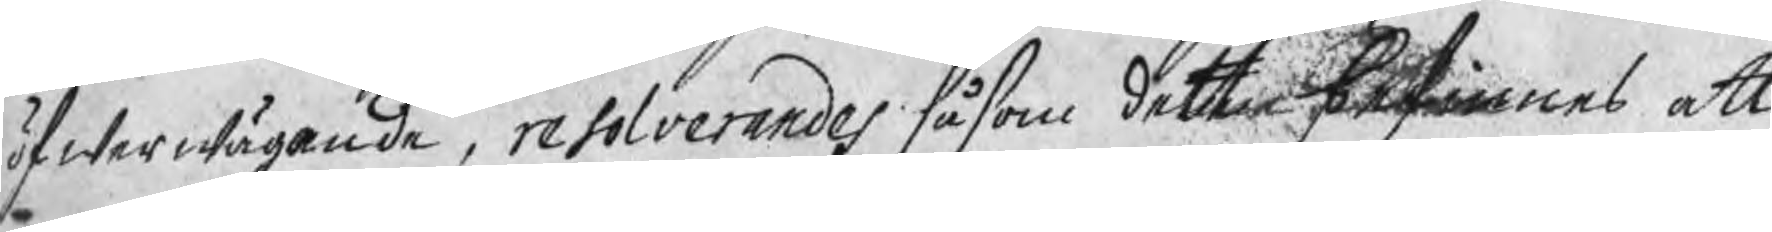öfwerwägande, resolverandes såsom detta befinnes att
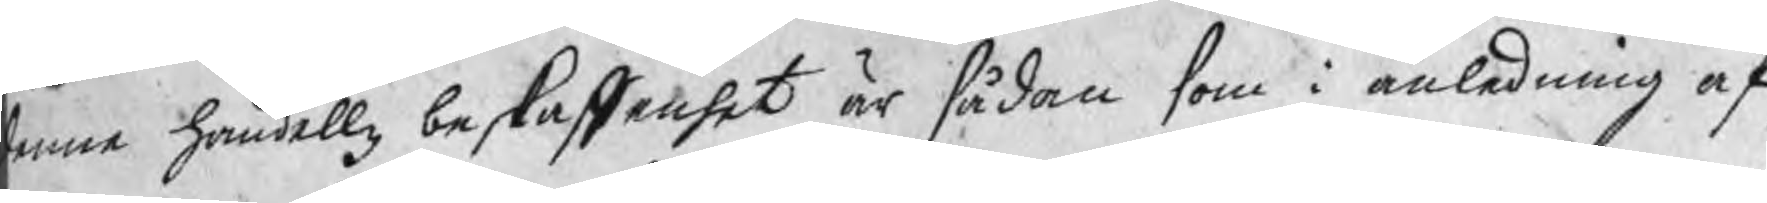enna handellz beskaffenhet är sådan som i anledning af
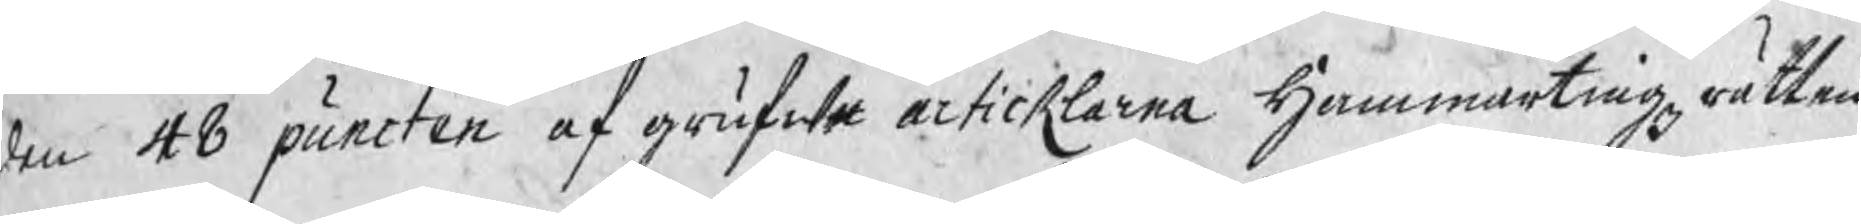den 48 puncten af grufwe articklarna Hammartingz rätten
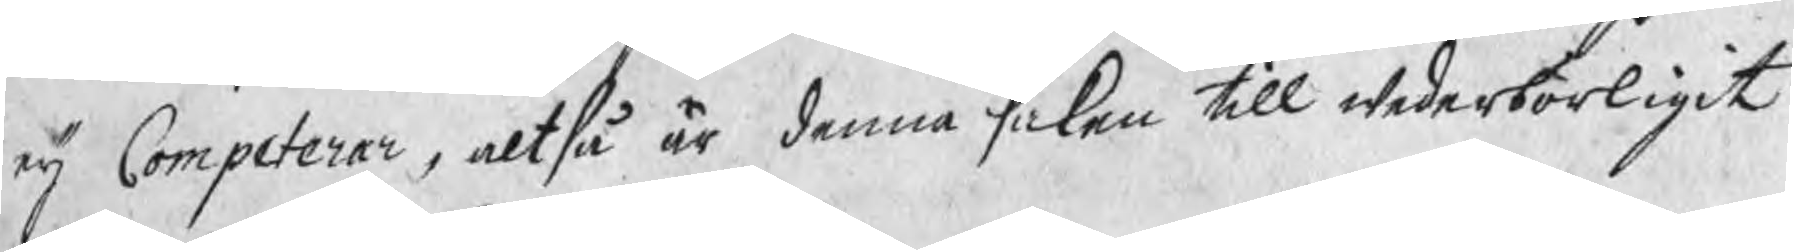eij Competerar, altså är denna saken till wederbörligit
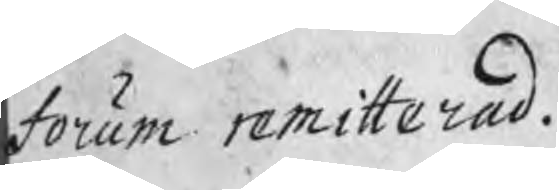Forum remitterad.
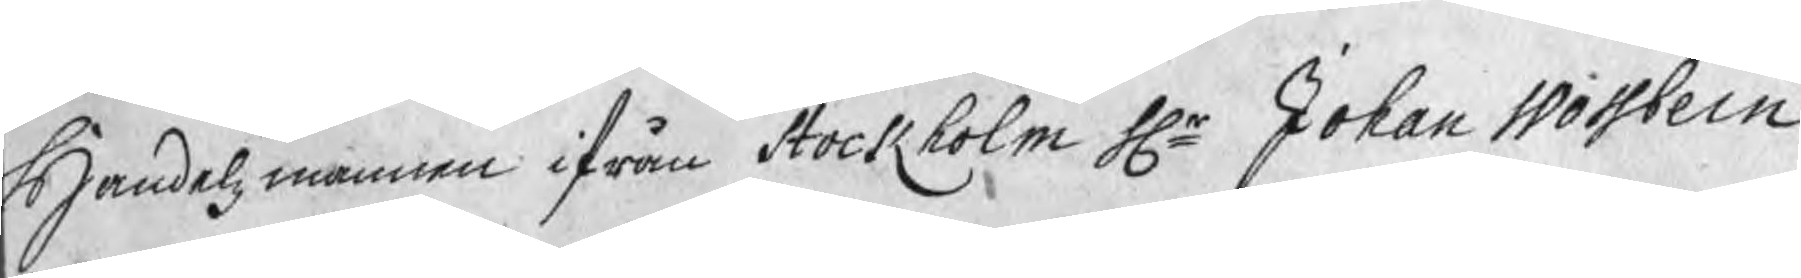Handelsmannen ifrån Stockholm Hr Johan Wossbein
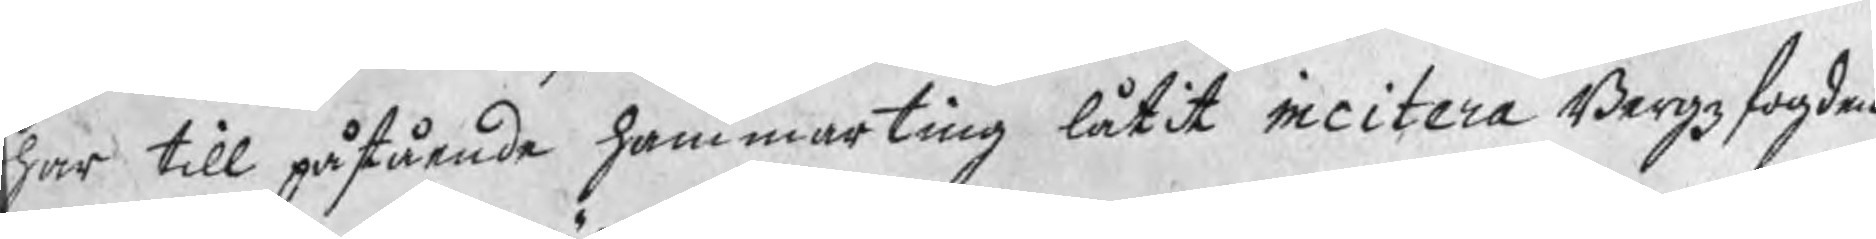har till påstående hammarting låtit incitera Bergzfogden
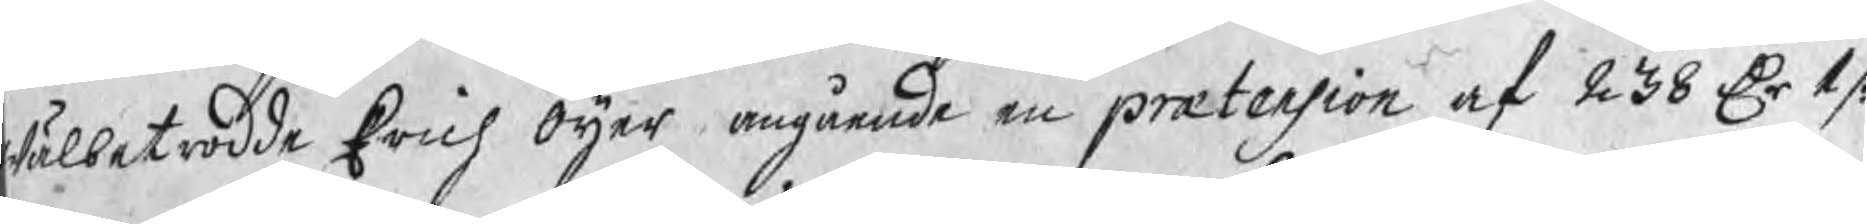wälbetrodde Erich Öijer angående en prætension af 238 Dr 1 /:
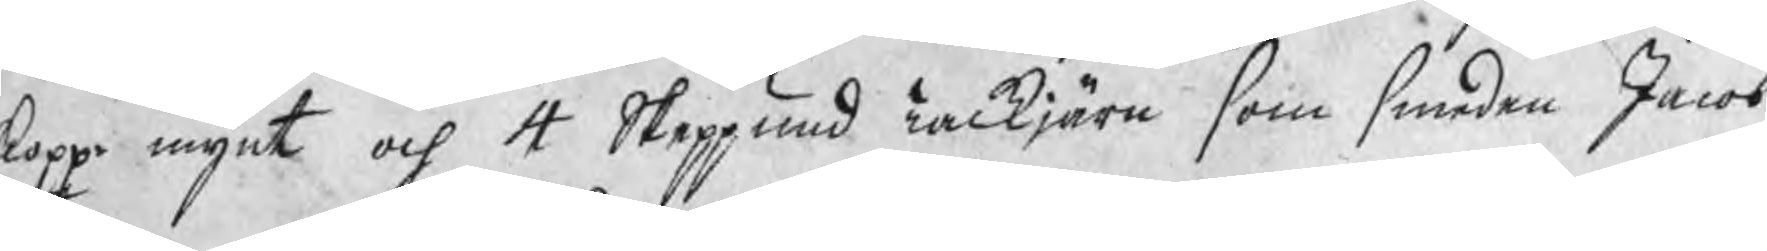koppr mynt och 4 Skeppund Tackjärn som smeden Jacob
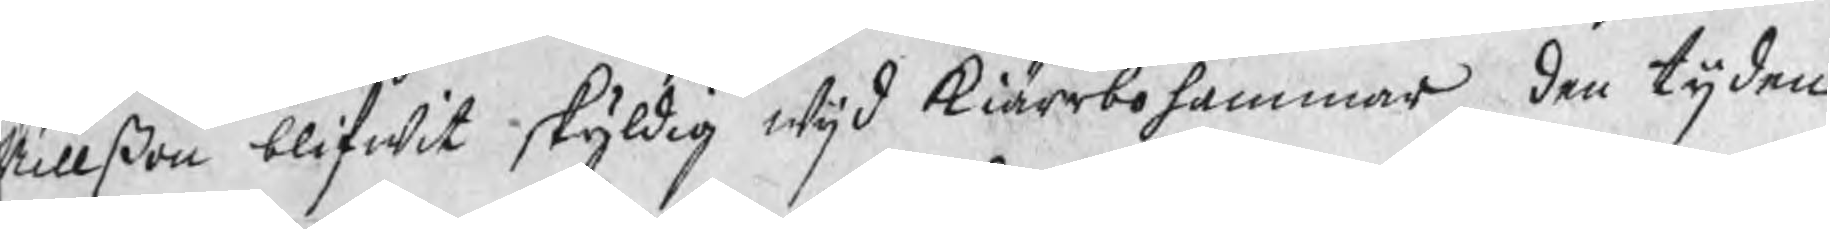Nillßon blifwit skyldig wijd Kiärrbohammar den tijden
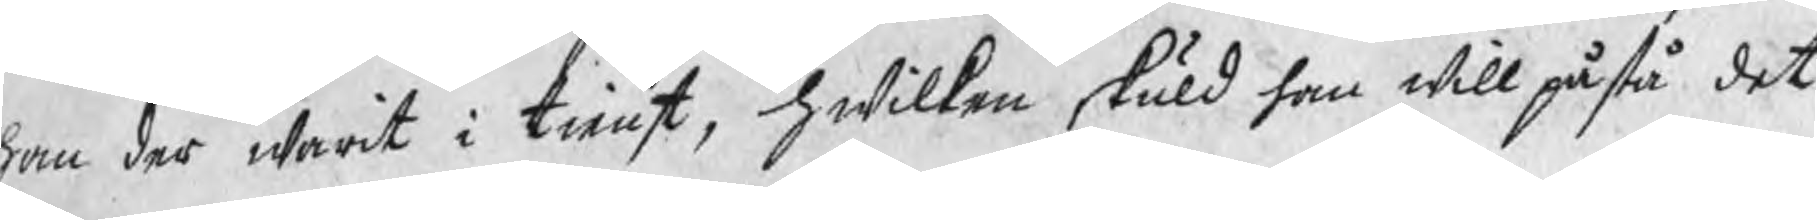han der warit i tienst, hwilken skuld han will påstå det
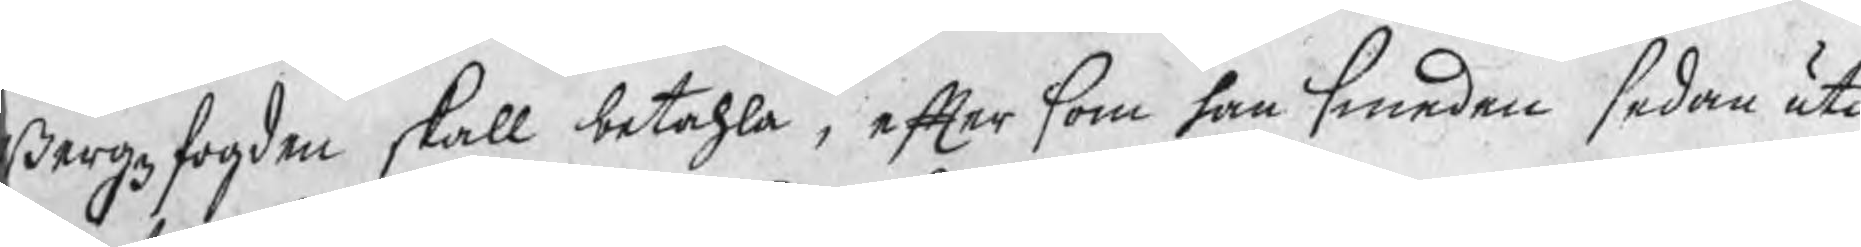Bergzfogden skall betahla, efter som han smeden sedan uti
